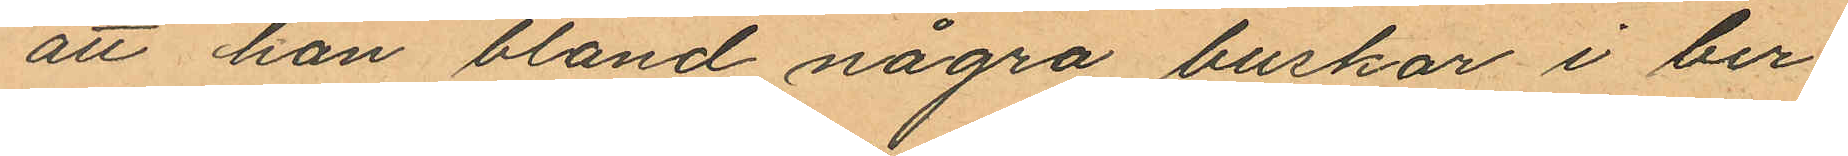att han bland några buskar i ber¬
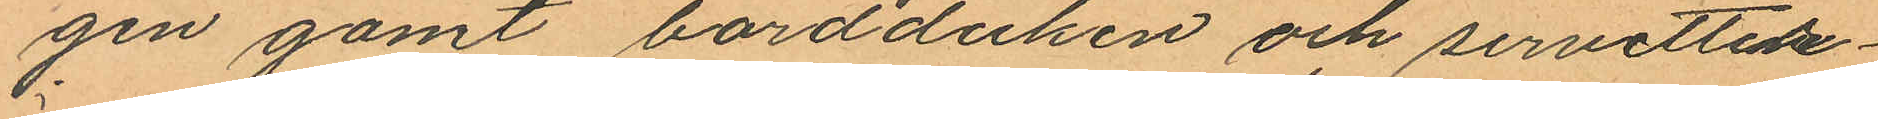gen gömt bordduken och servetter¬
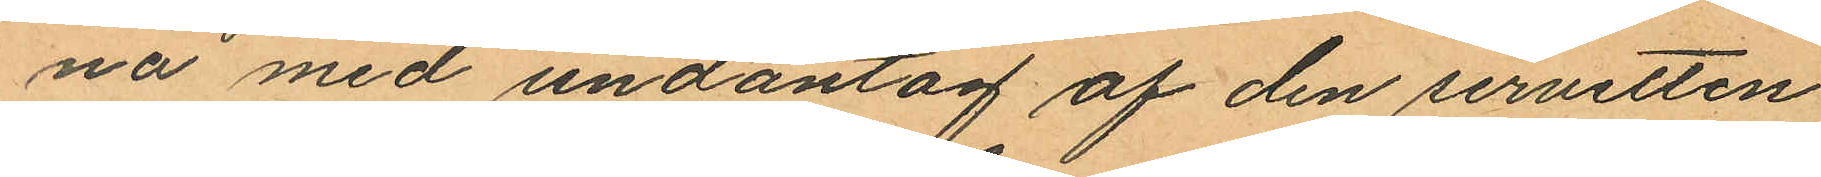na med undantag af den servetten
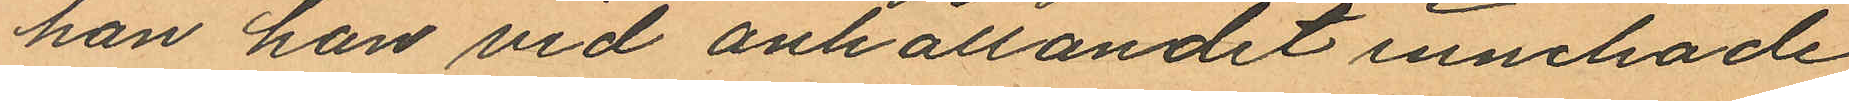han han vid anhållandet innehade;
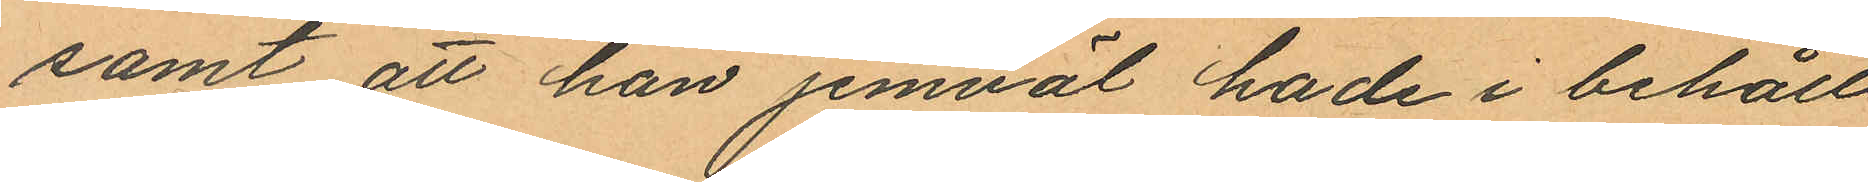samt att han jemväl hade i behåll
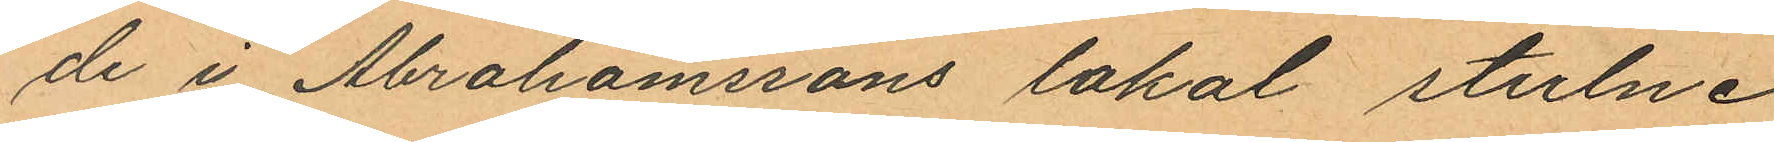de i Abrahamssons lokal stulne
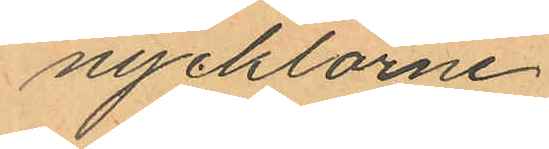nycklarne
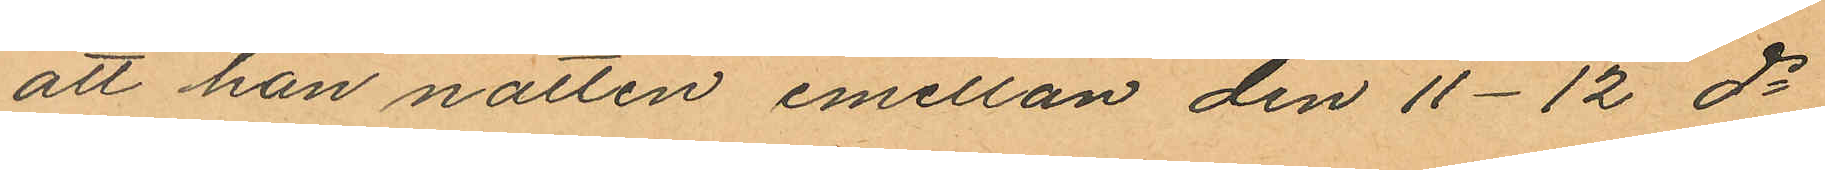att han natten emellan den 11-12 ds
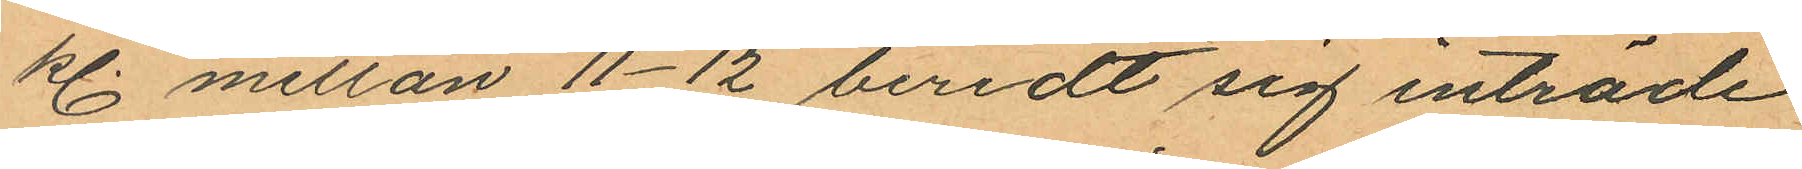kl. mellan 11-12 beredt sig inträde
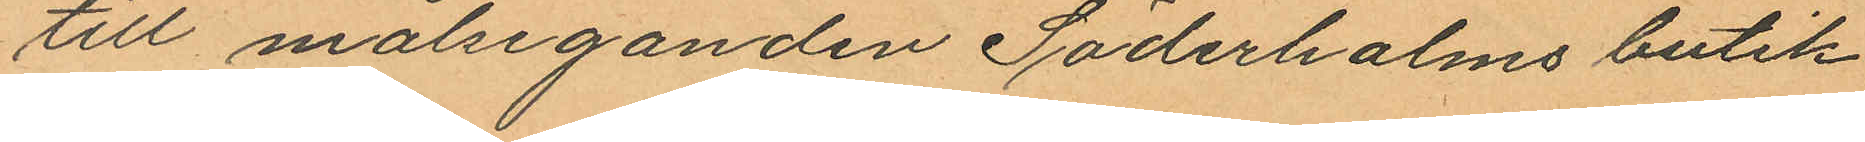till målseganden Söderholms butik
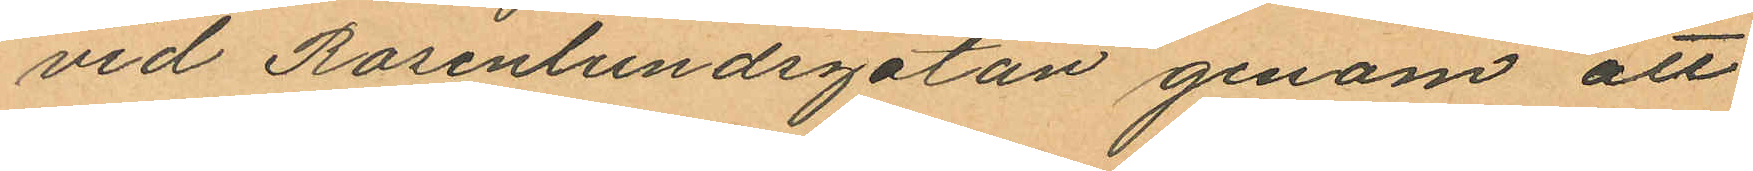vid Rosenlundsgatan genom att
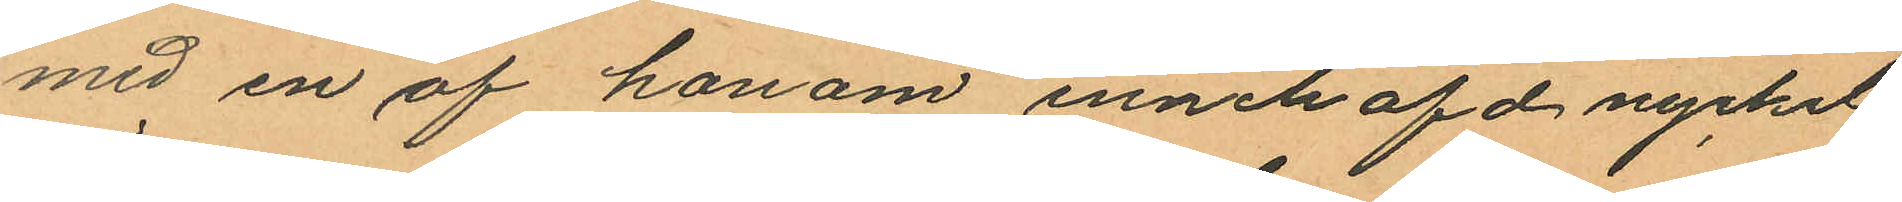med en af honom innehafd nyckel
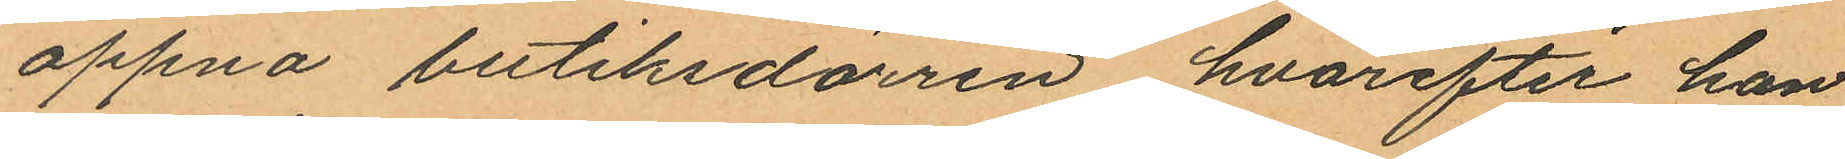öppna butiksdörren, hvarefter han
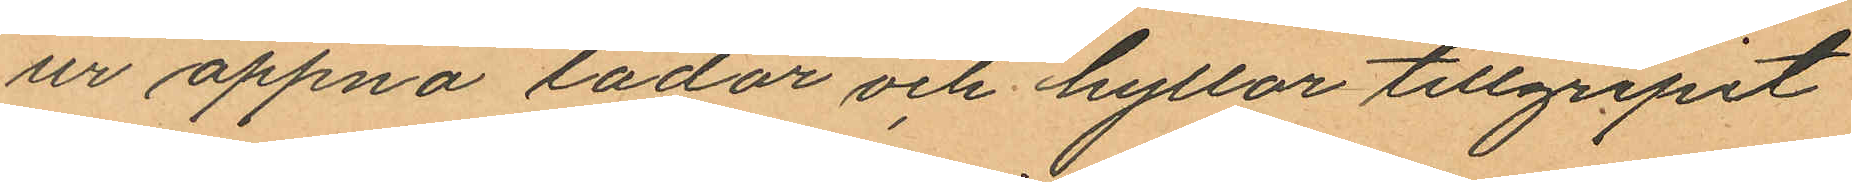ur öppna lådor och hyllor tillgripit
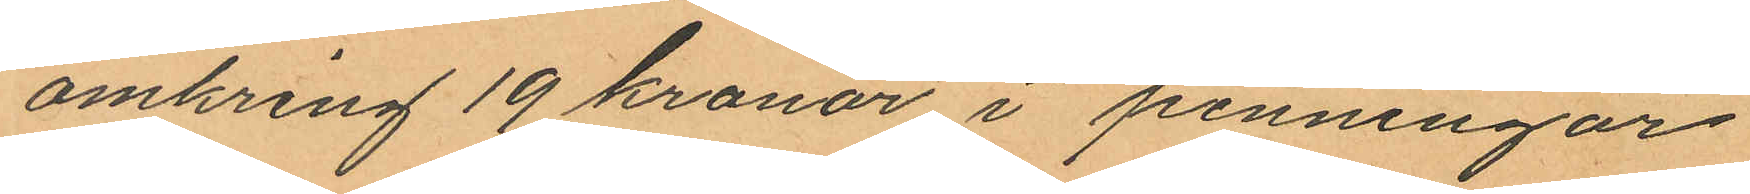omkring 19 kronor i penningar
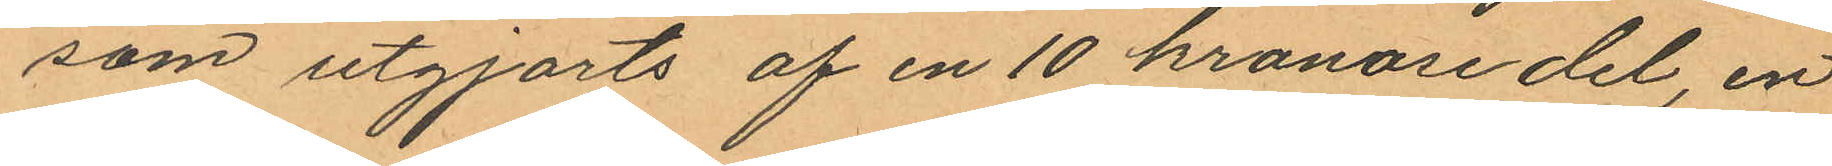som utgjorts af en 10 kronosedel, en
